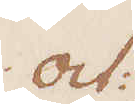Oct:
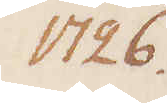1726.
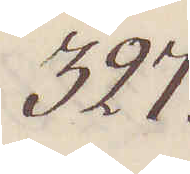327.
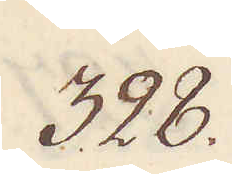328.
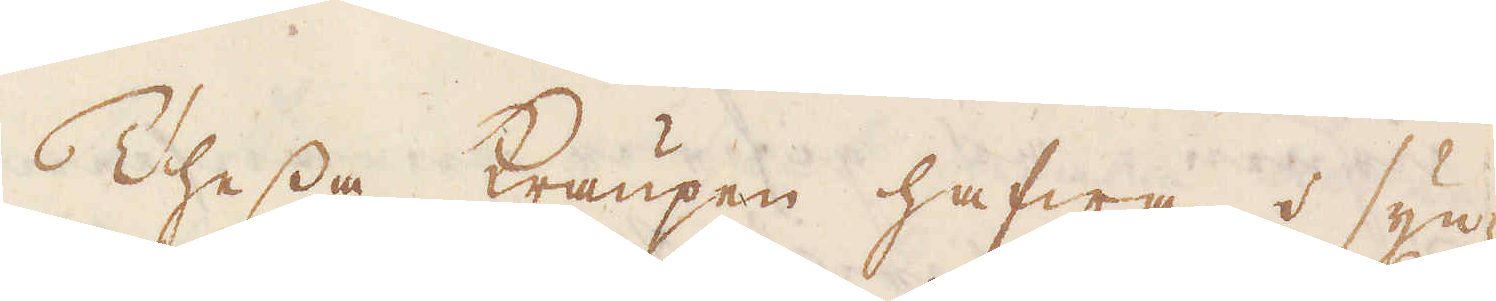Thessa Kraupen hafwa i syn-
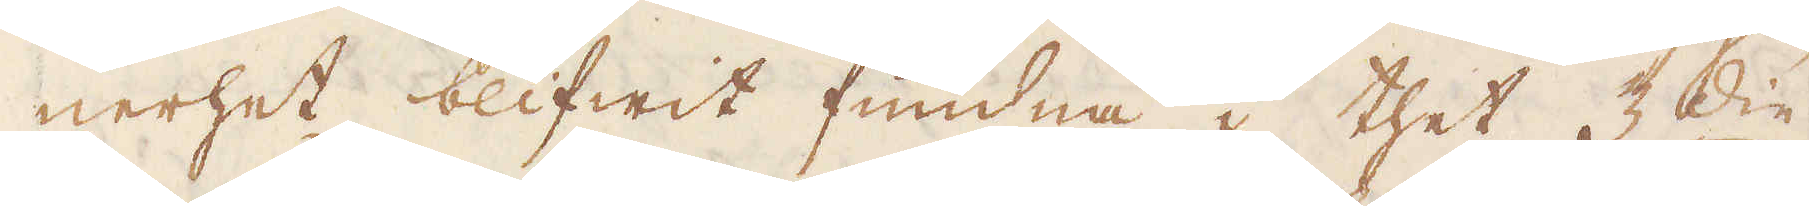nerhet blifwit fundna i thet 3:die
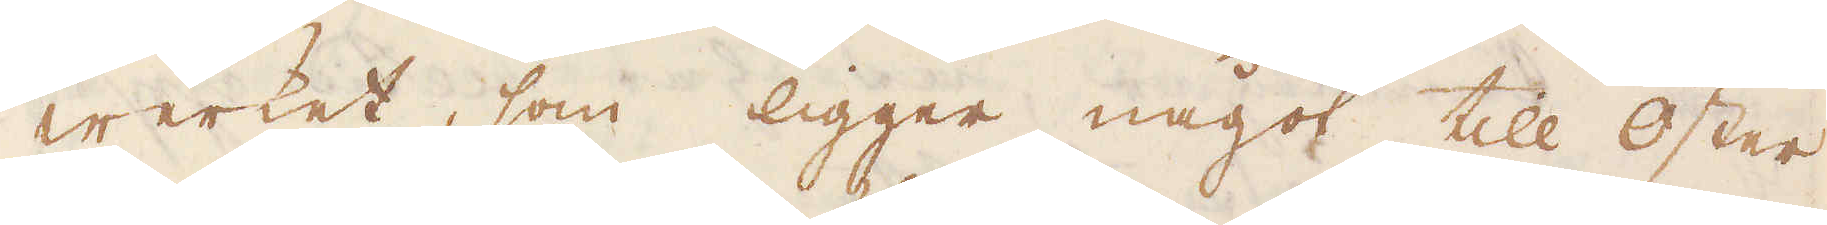werket, som ligger något till öster
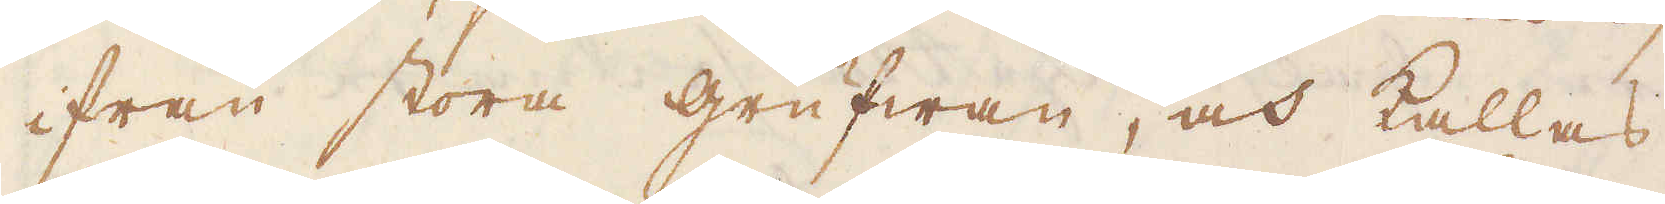ifrån stora grufwan, och kallas
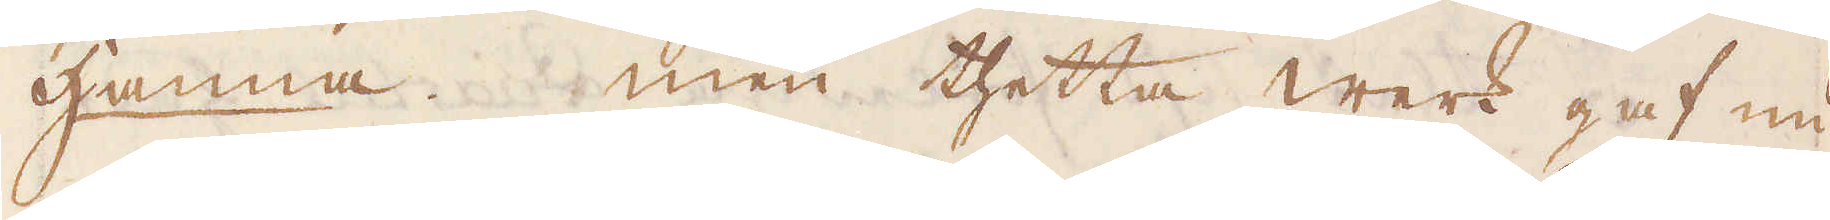Hanna. Men thetta werk gaf nu
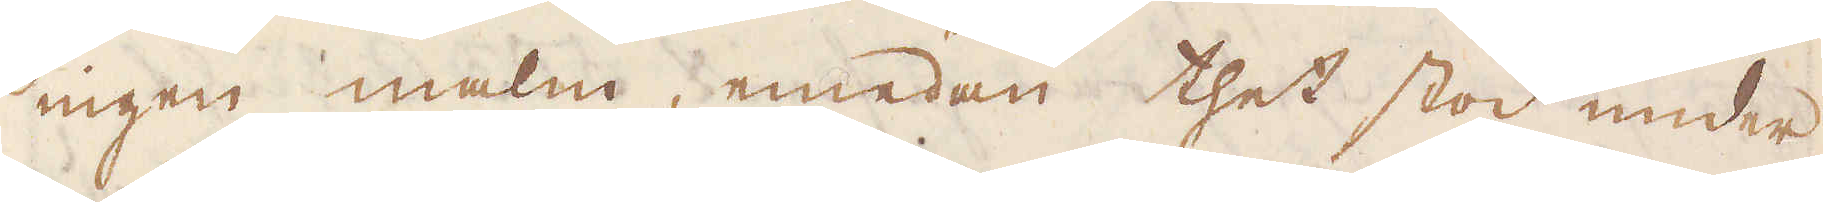ingen malm, emedan thet stod under
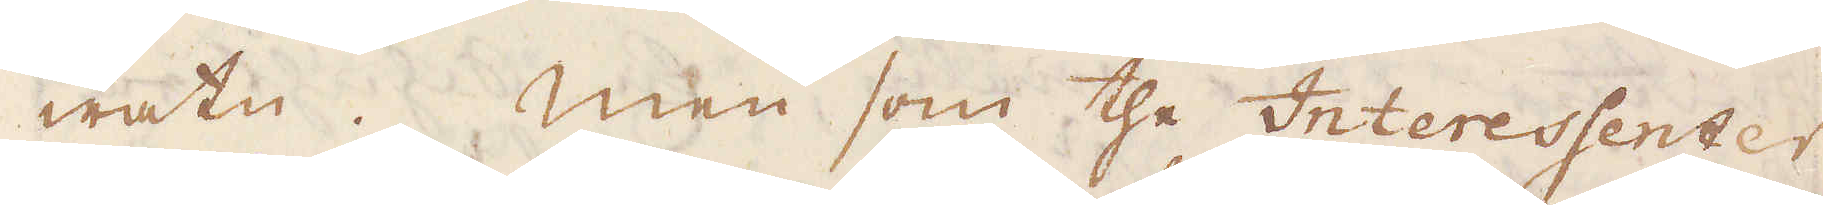watn. Men som the Interessenter
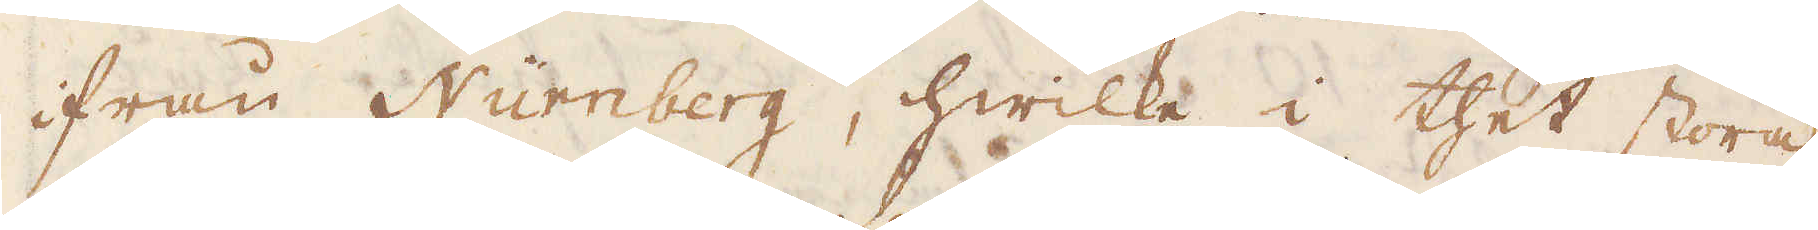ifrån Nürnberg, hwilke i thet stora
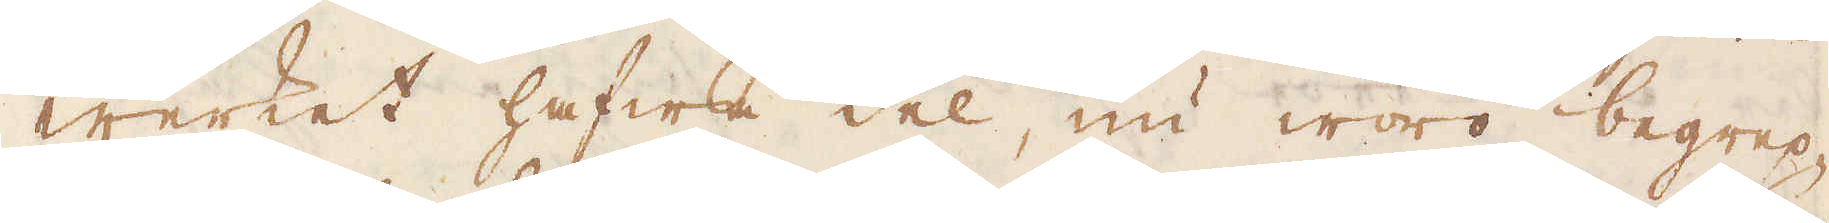werket hafwa del, nu woro begrep-
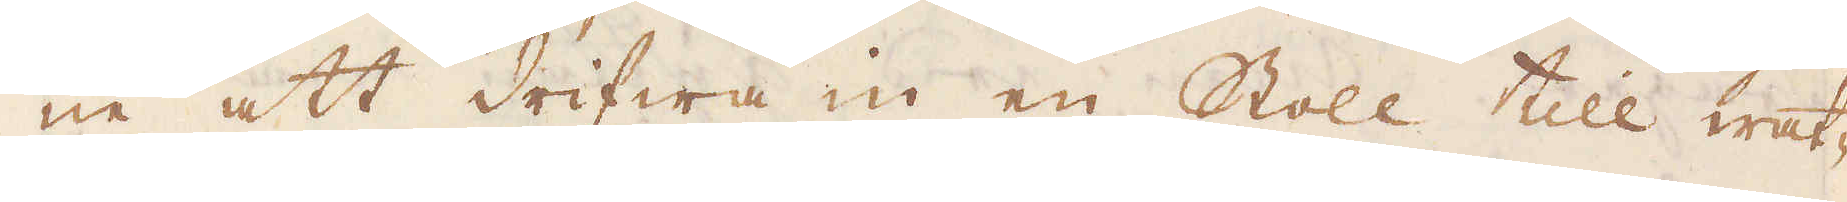ne att drifwa in en Stoll till wat-
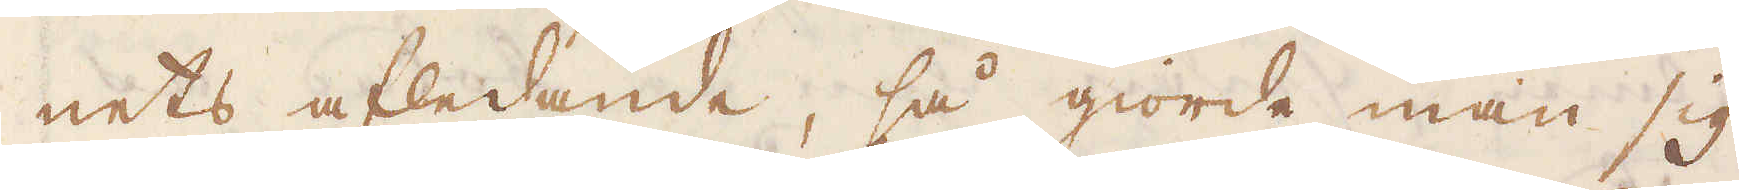nets afledande, så giorde man sig
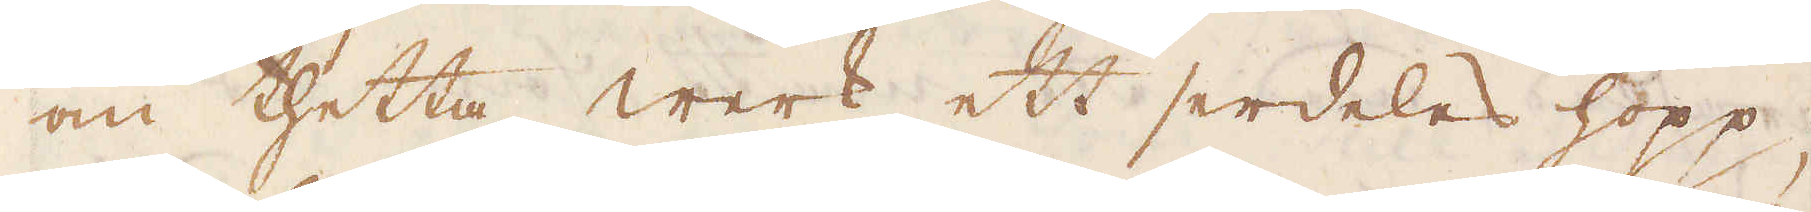om thetta werk ett serdeles hopp;
